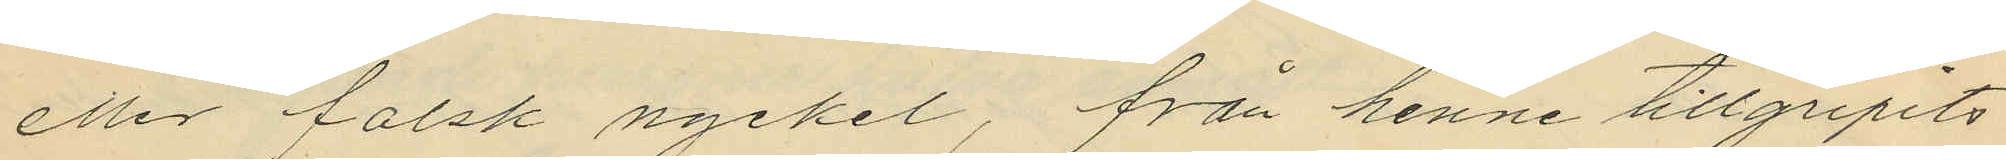eller falsk nyckel, från henne tillgripits
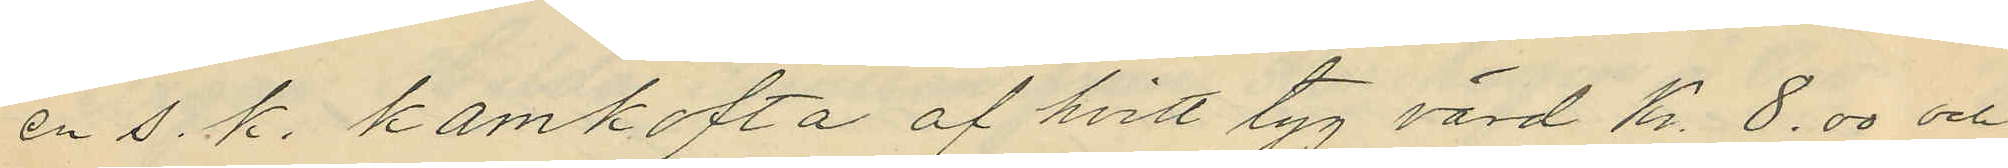en s. k. kamkofta af hvitt tyg värd Kr. 8.00 och
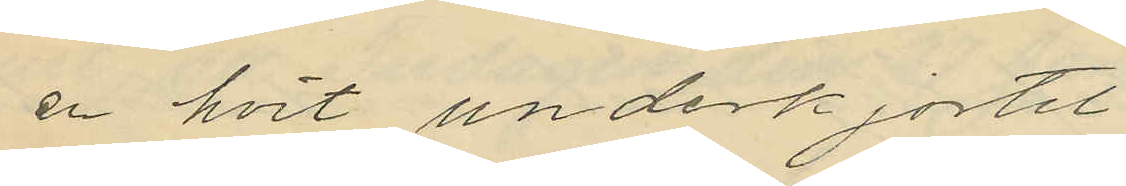en hvit underkjortel
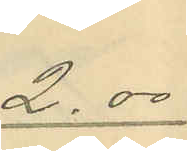2.00
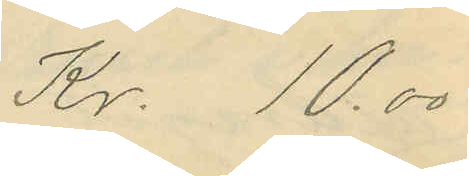Kr. 10.00
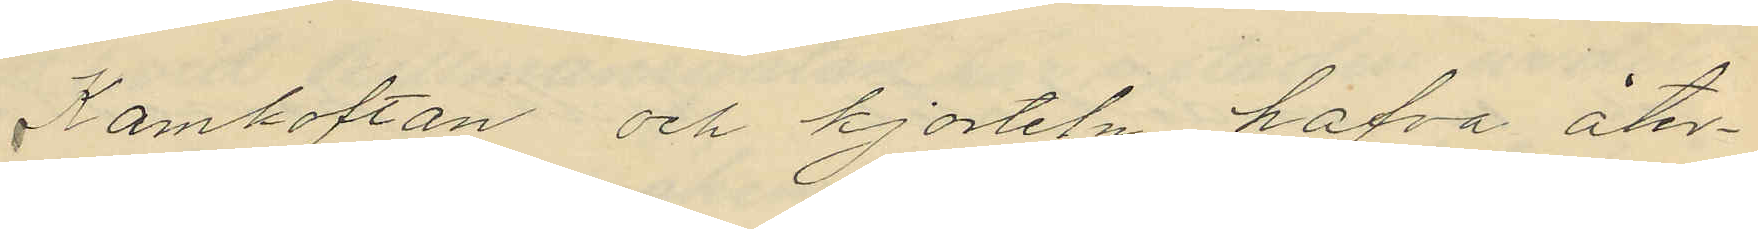Kamkoftan och kjorteln hafva åter¬
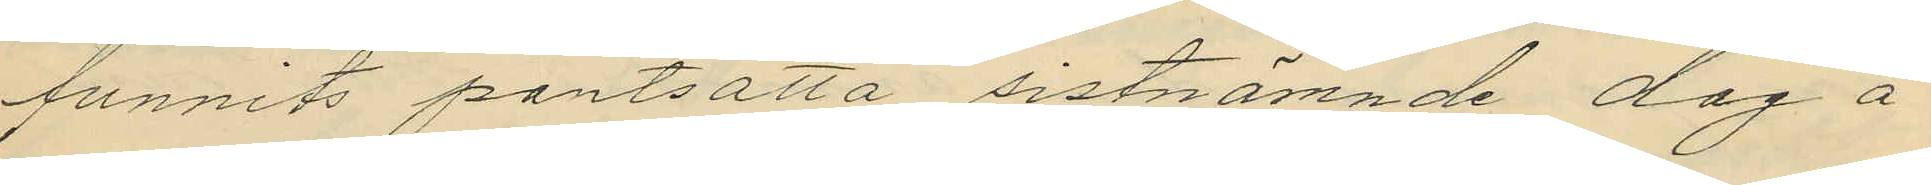funnits pantsatta sistnämnde dag å
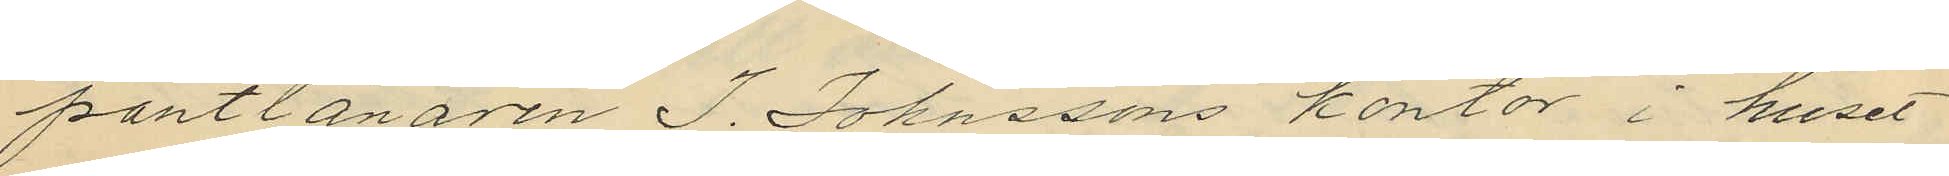pantlånaren J. Johnssons kontor i huset
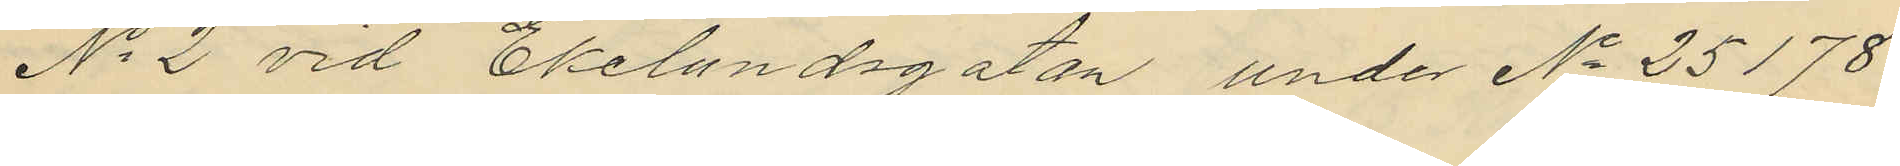No 2 vid Ekelundsgatan, under No 25178
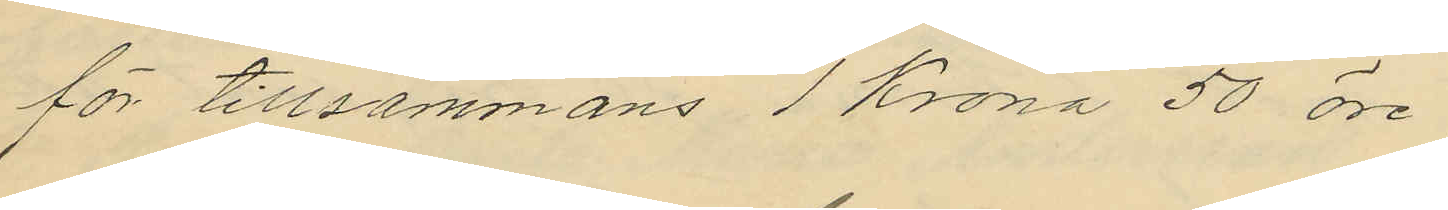för tillsammans 1 Krona 50 öre
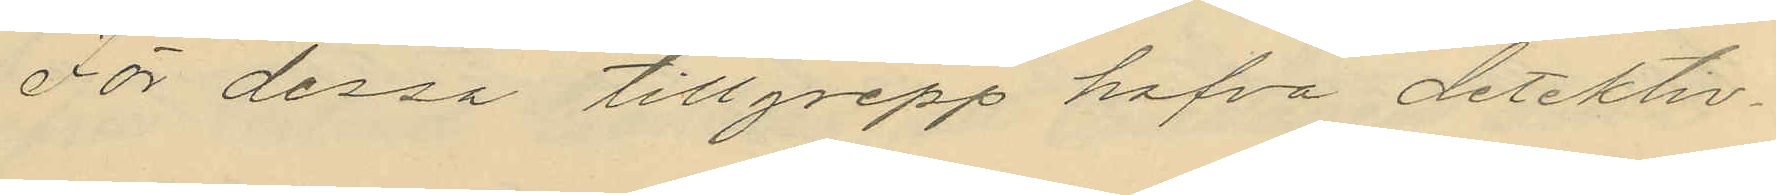För dessa tillgrepp hafva detektiv¬
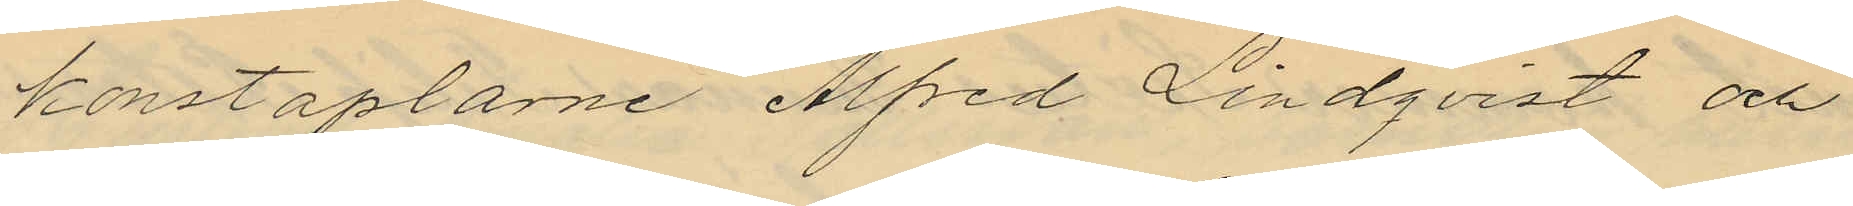konstaplarne Alfred Lindqvist och
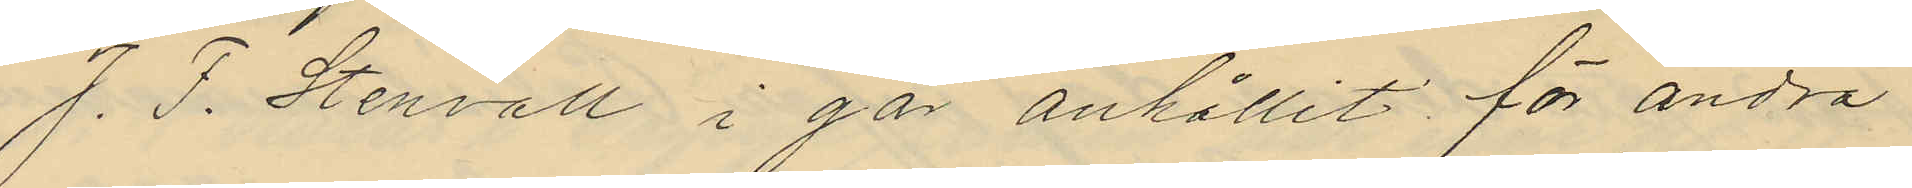J. F. Stenvall i går anhållit för andra
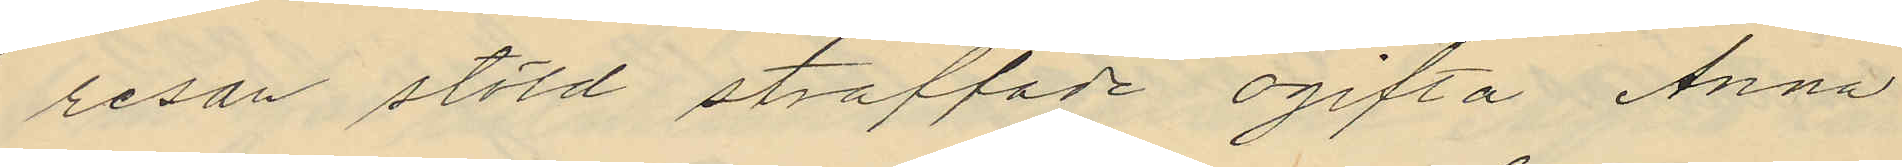resan stöld straffade ogifta Anna
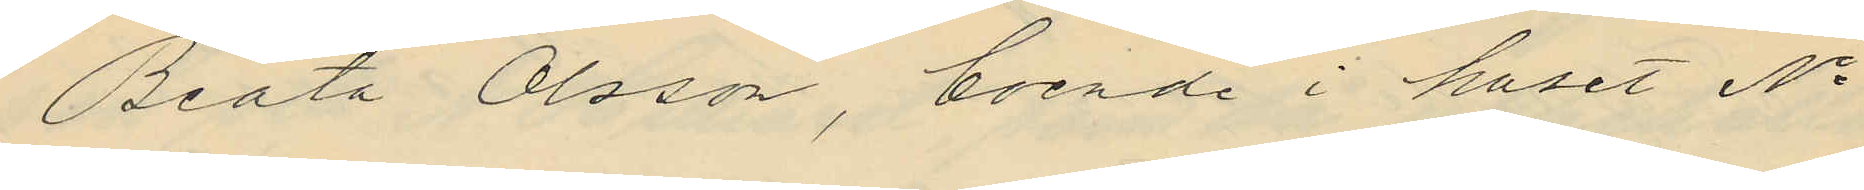Beata Olsson, boende i huset No
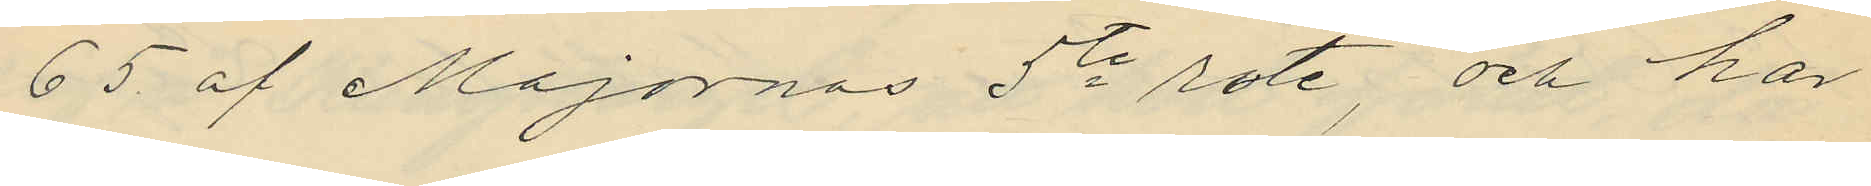65 af Majornas 5te rote, och har
